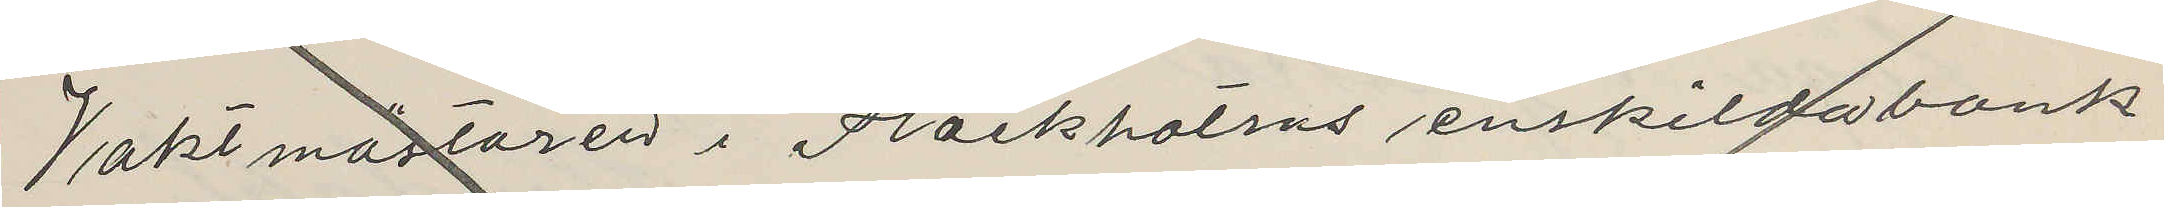Vaktmästaren i Slockholms enskildabank
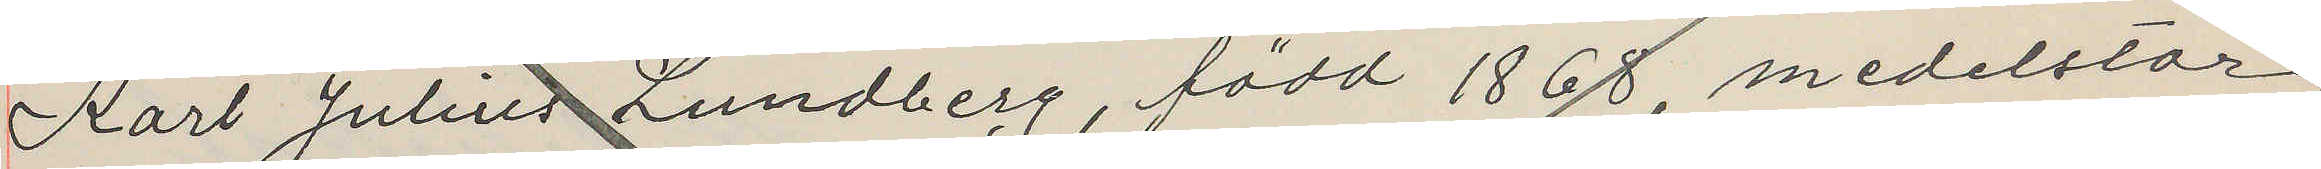Karl Julius Lundberg, född 1868, medelstor,
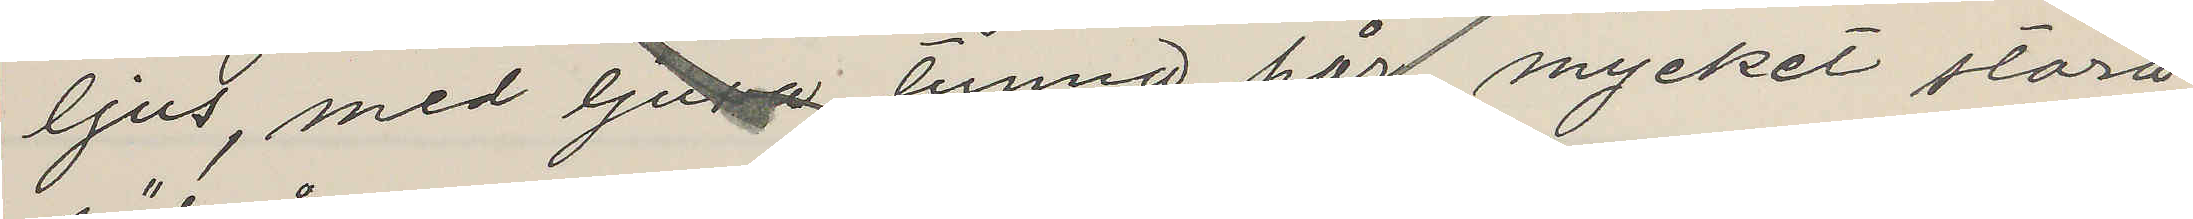ljus, med ljusa tunna hår, mycket stora
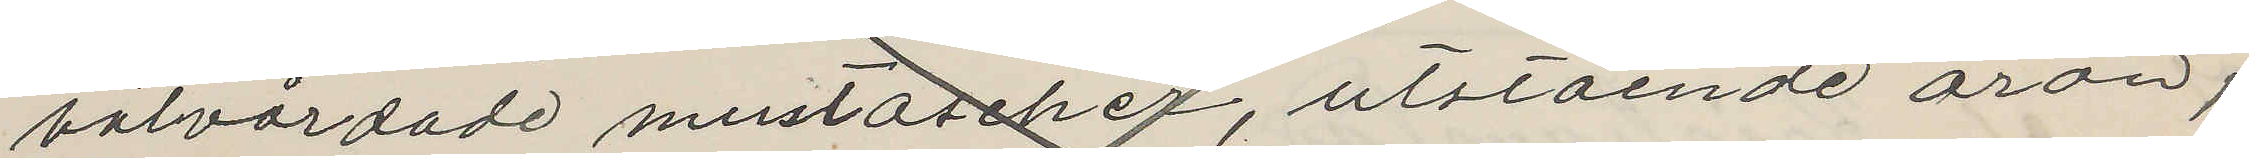välvårdade mustascher, utstående öron,
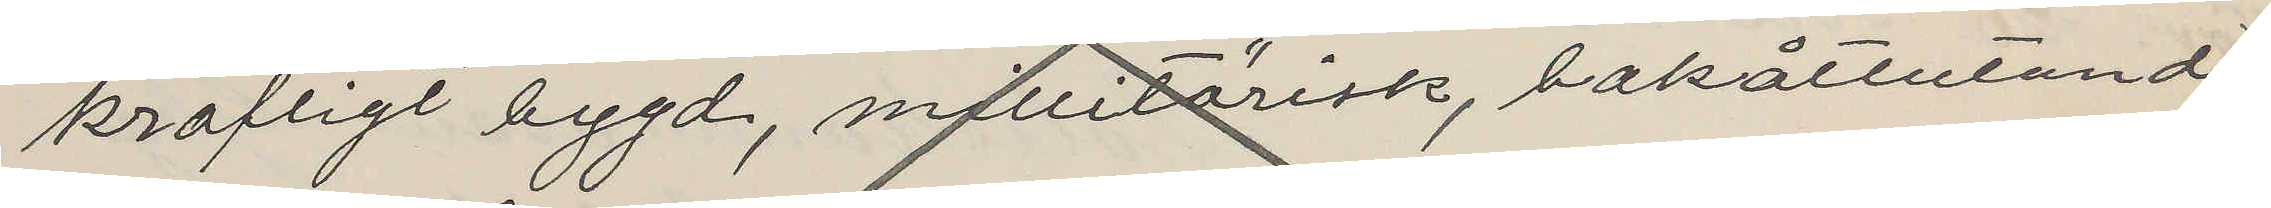kraftigt bygd, militärisk, bakåtlutande,
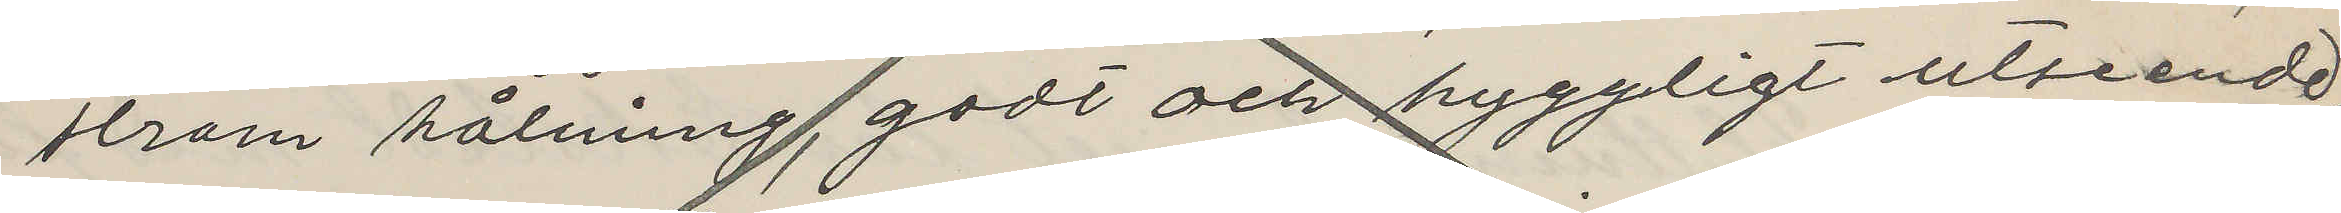stram hålning, godt och hyggligt utseende,
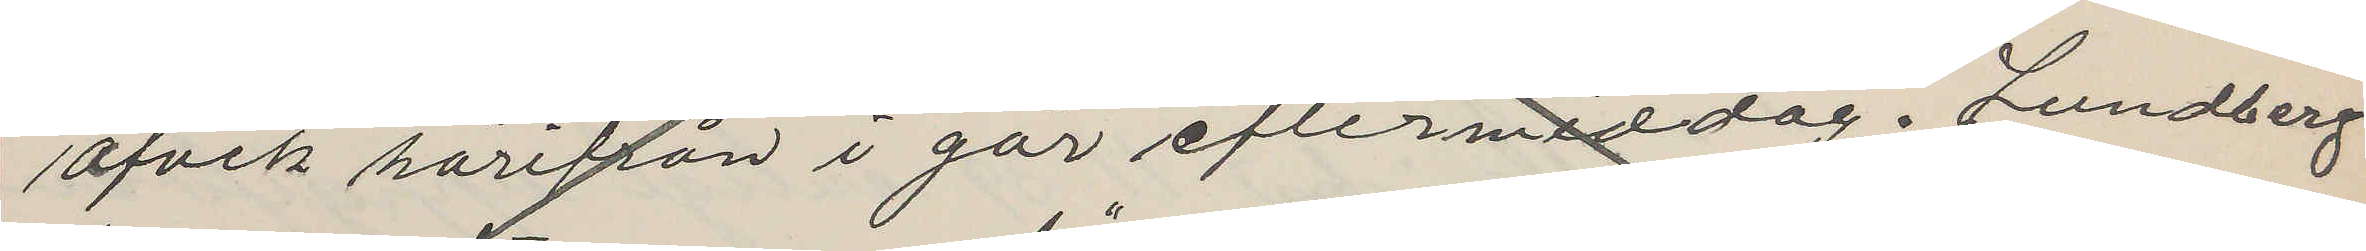afvek härifrån i går eftermiddag. Lundberg
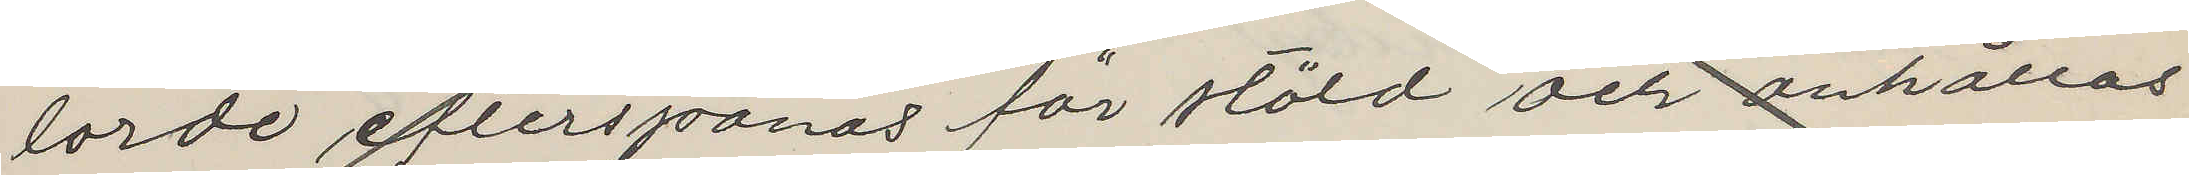torde efterspanas för stöld och anhållas
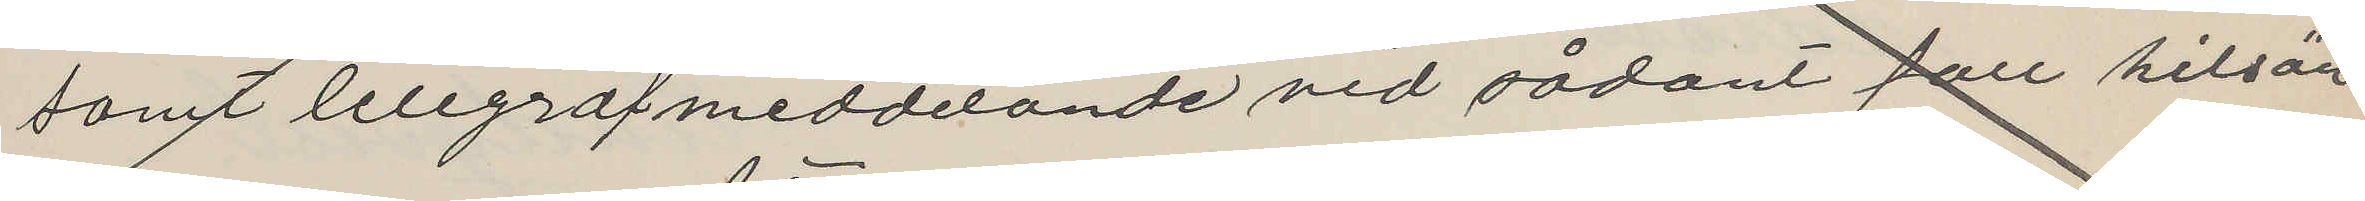samt telegrafmeddelande vid sådant fall hitsän¬
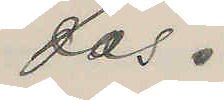das.
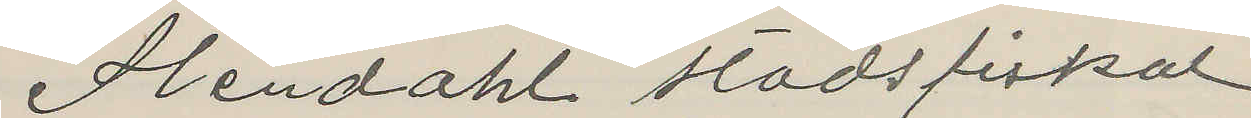Stendahl stadsfiskal.
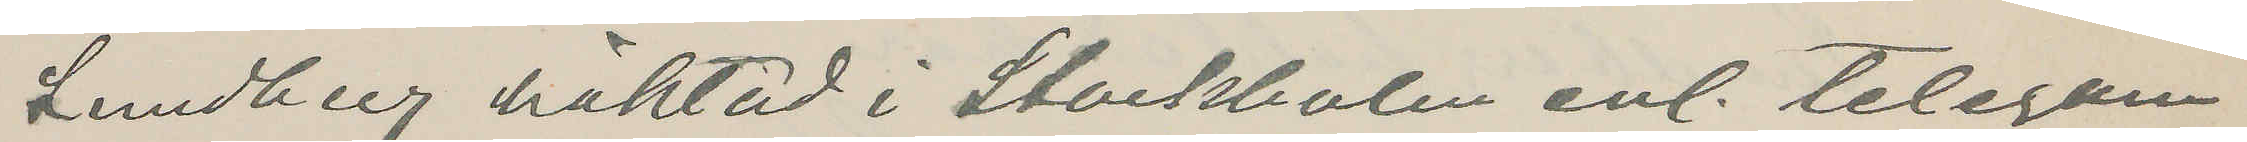Lundberg häktad i Stockholm enl. telegram
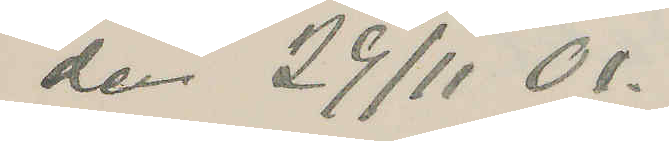den 29/11 01.
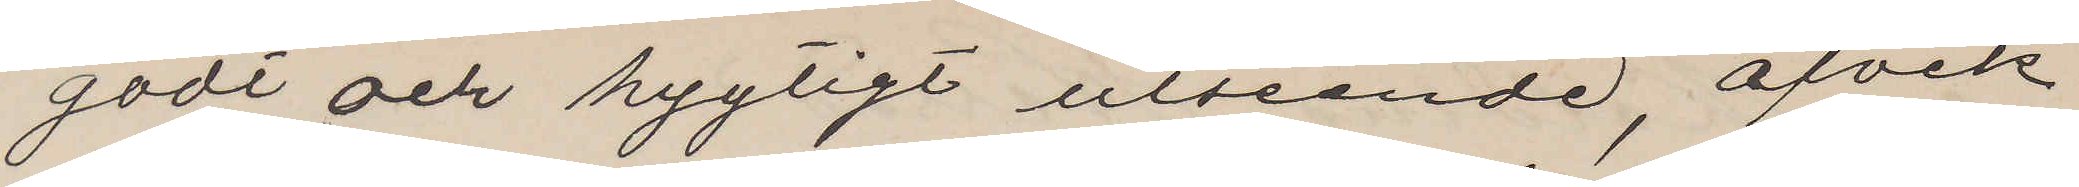godt och hygligt utseende, afvek
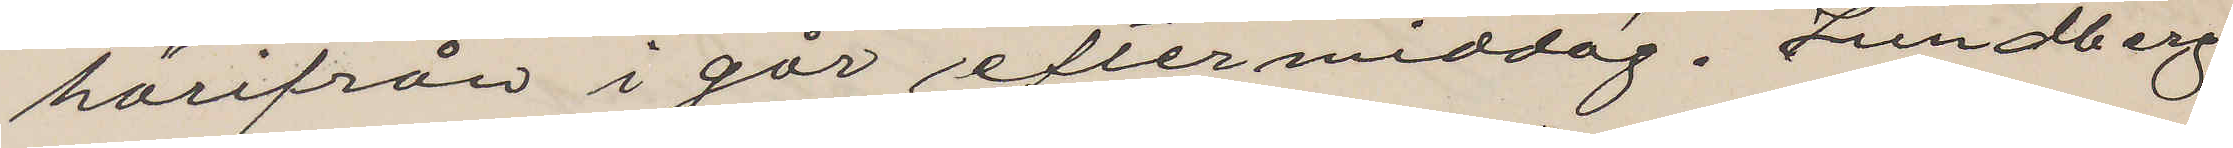härifrån i går eftermiddag. Lundberg
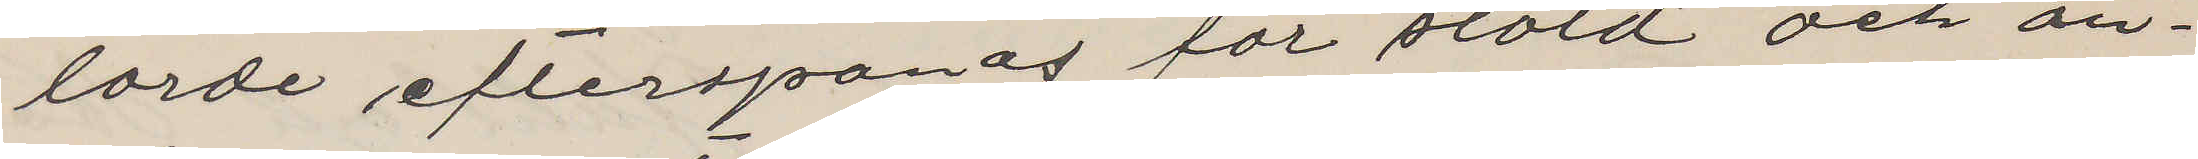torde efterspanas för stöld och an¬
